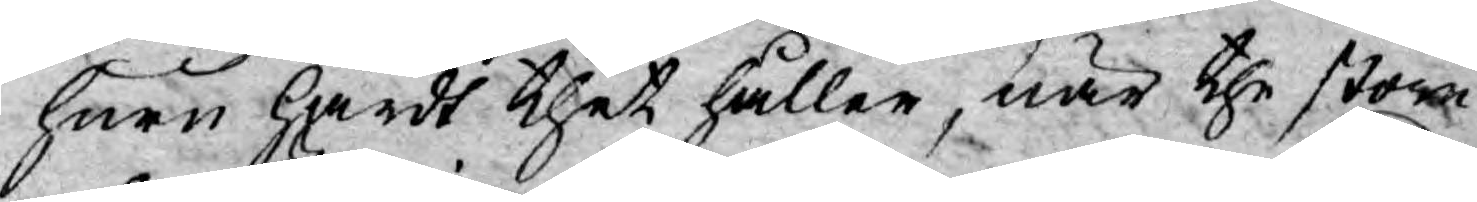huru hårdt thet håller, när the stora
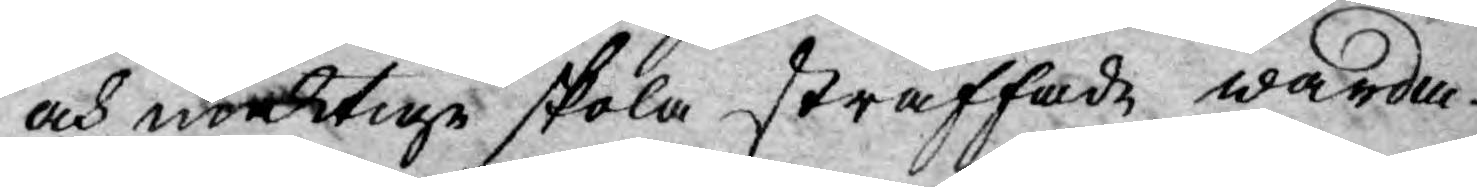och mäktige skola straffade warda.
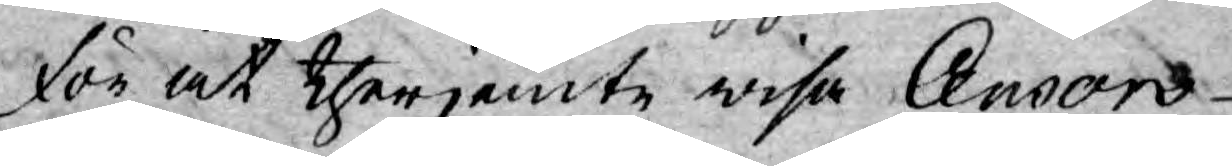för at therjemte wisa Censors
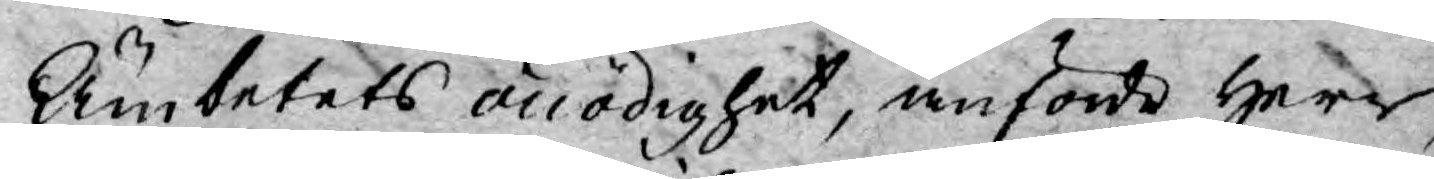Ämbetets onödighet, anförde Herr
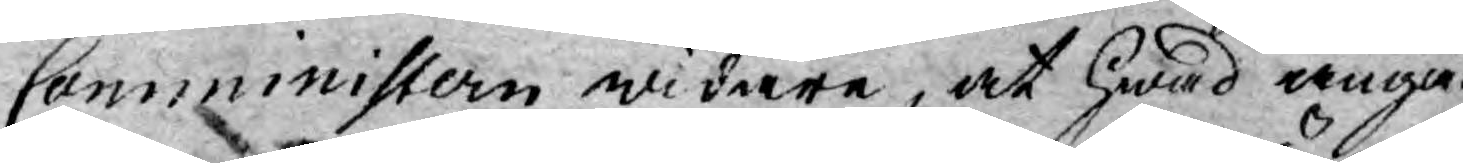Comministern widare, at hwad angå
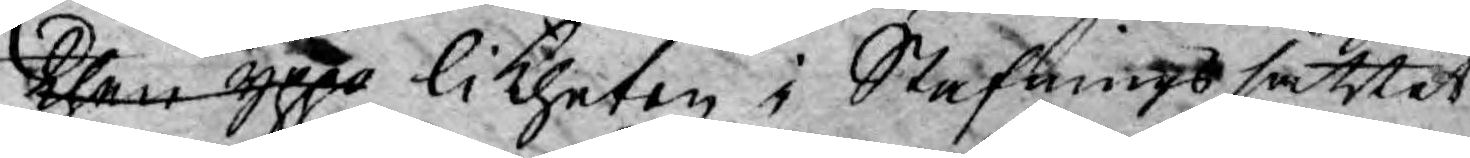then ypp likheten i Stafningssättet
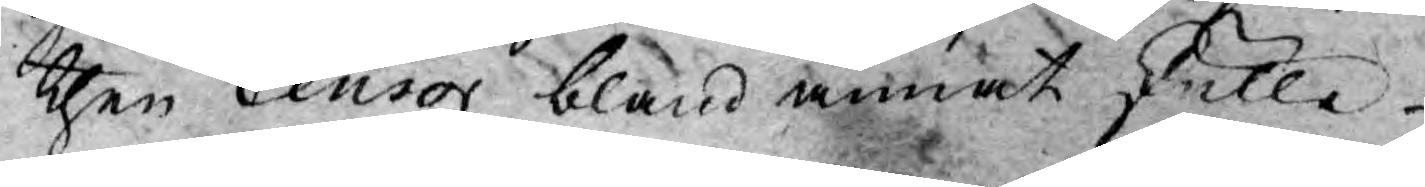then Censor bland annat skulle
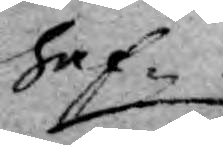haf¬
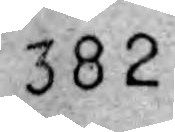382
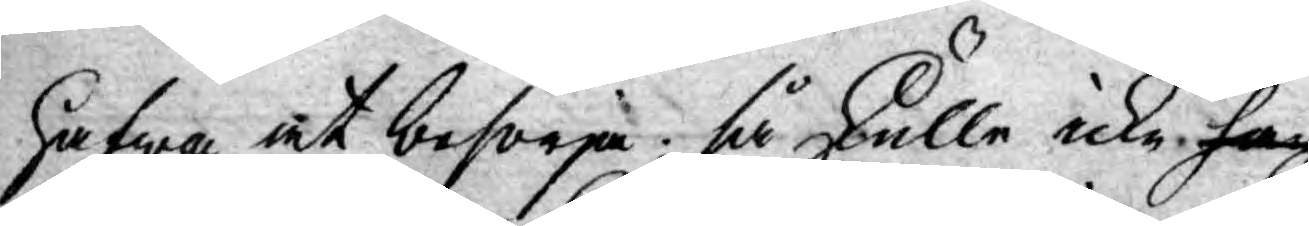hafwa at besörja; så skulle icke han
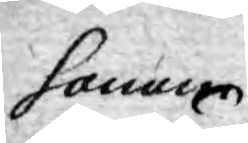honom
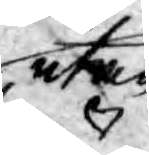utan
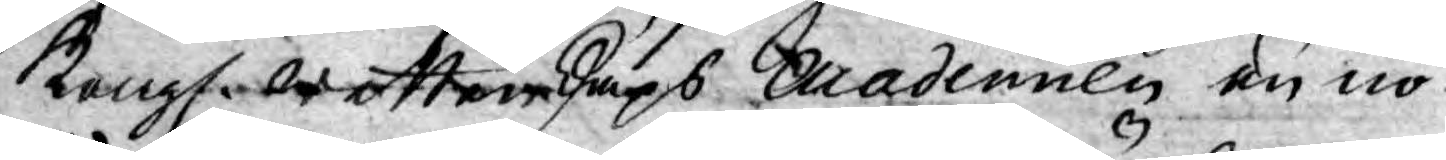Kongl. Wettenskaps Academien en nö¬
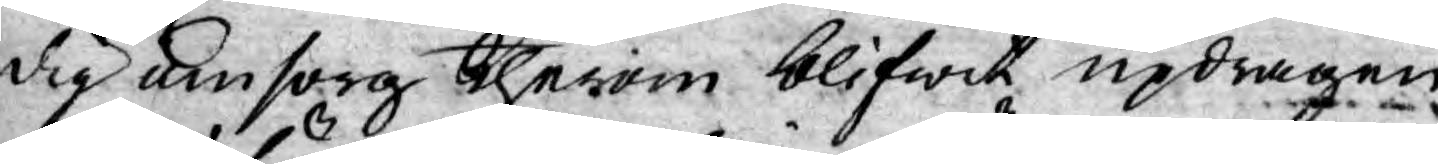dig omsorg therom blifwit updragen;
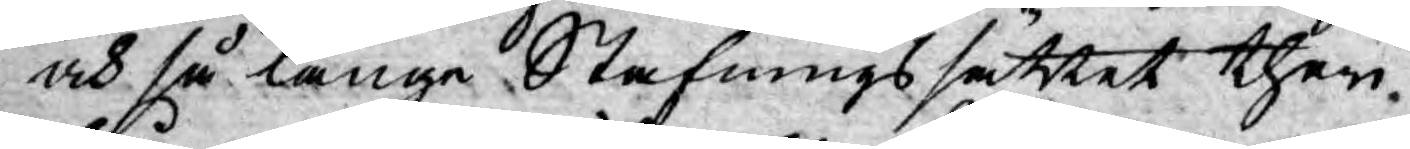och så länge Stafningssättet theri¬
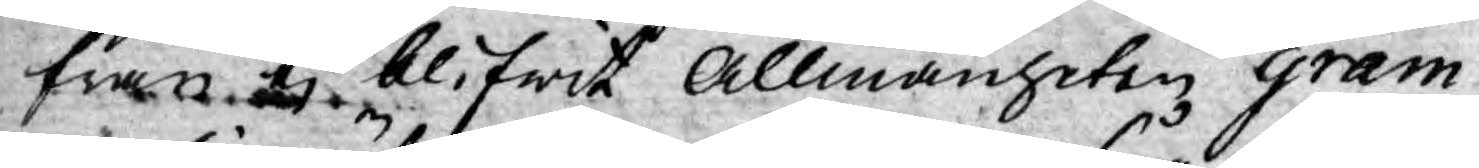från ej blifwit Allmänheten gram¬
